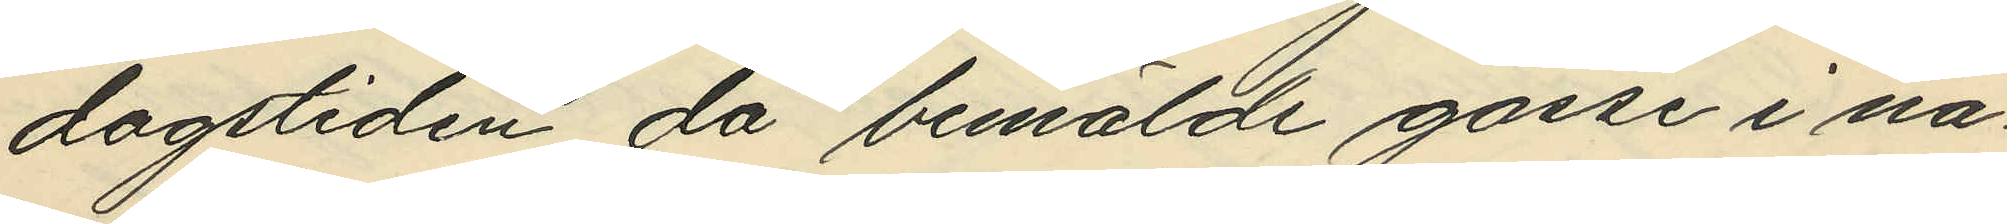dagstiden, då bemälde gosse i nå¬
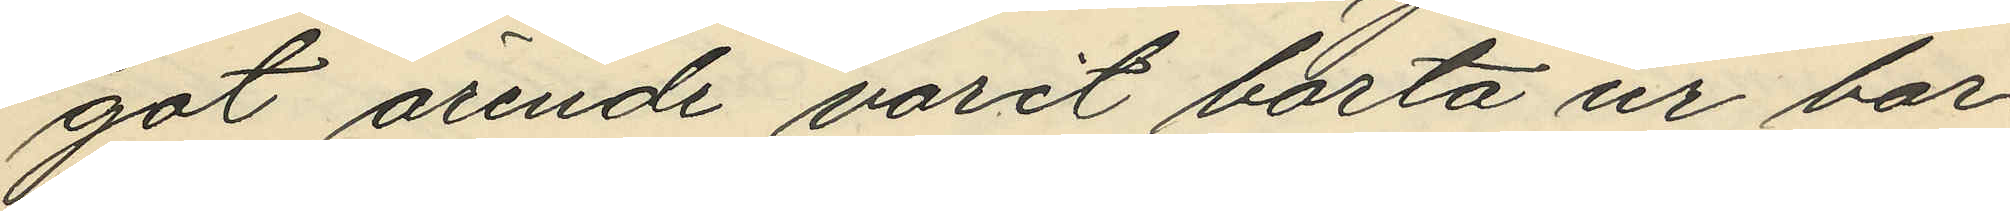got ärende varit borta ur bar¬
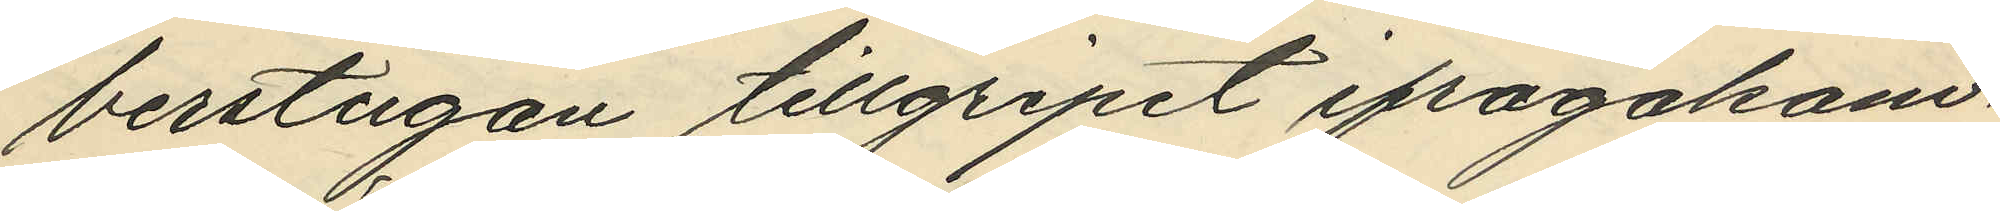berstugan tillgripit ifrågakom¬
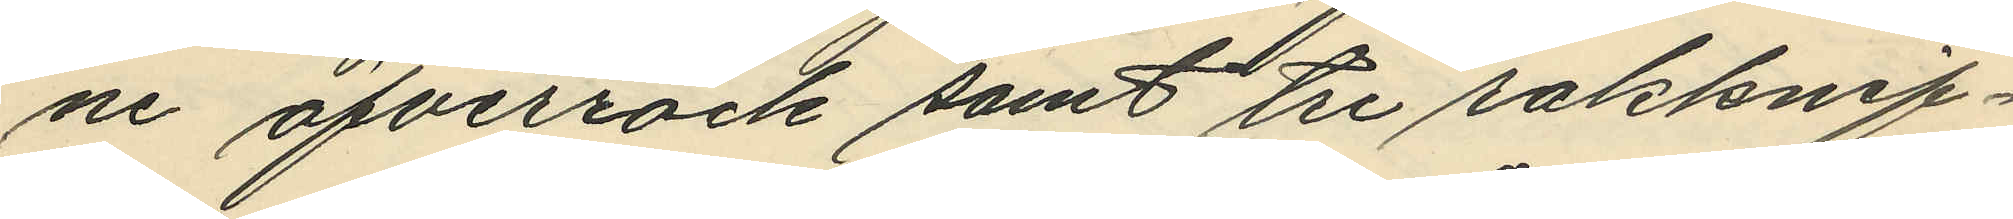ne öfverrock samt tre rakknif¬
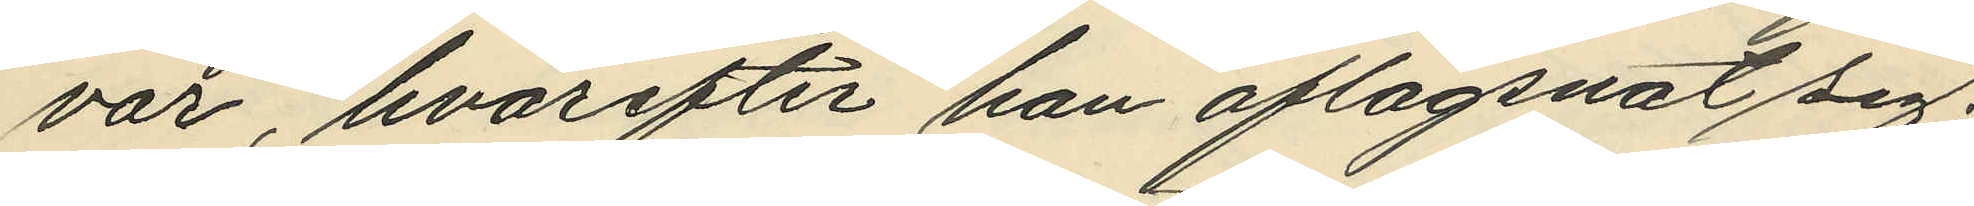var, hvarefter han aflägsnat sig;
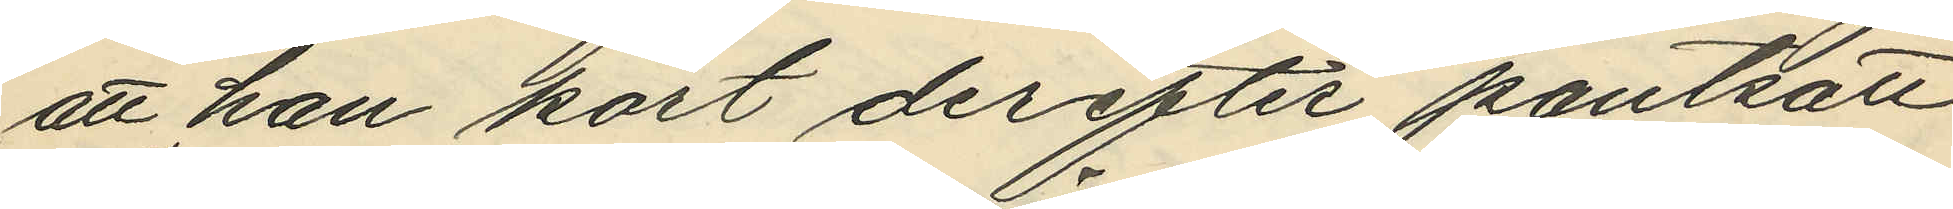att han kort derefter pantsatt
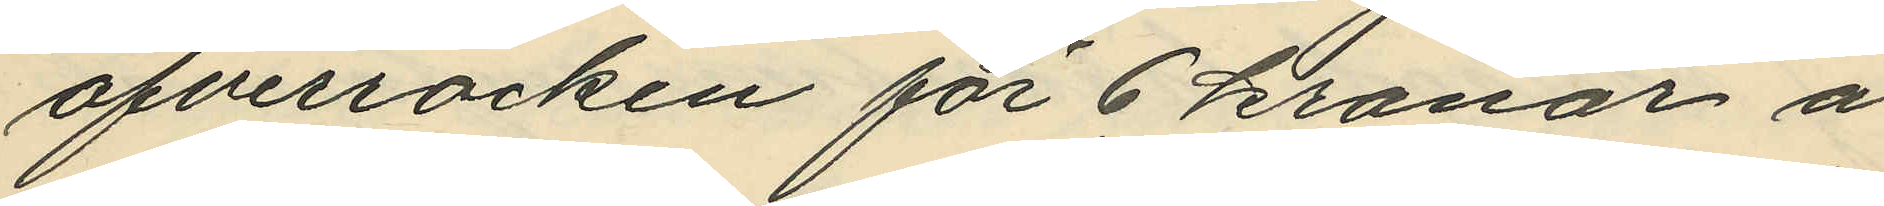öfverrocken för 6 kronor å
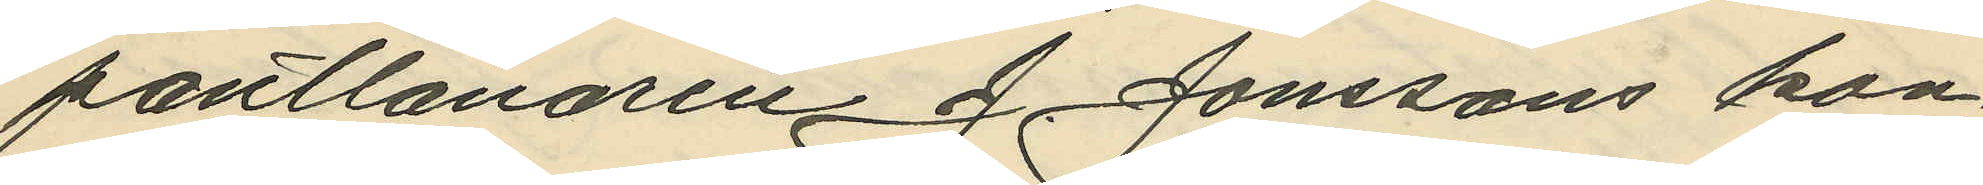pantlånaren J. Jonssons kon¬
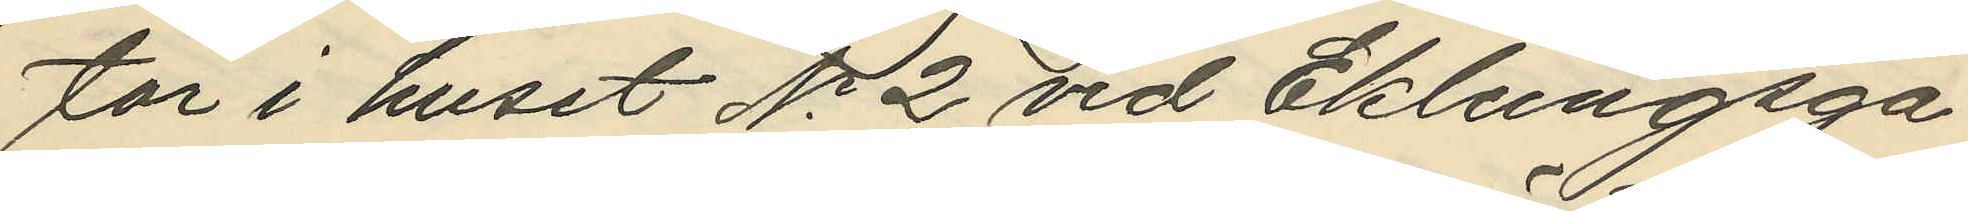tor i huset No 2 vid Eklungsga¬
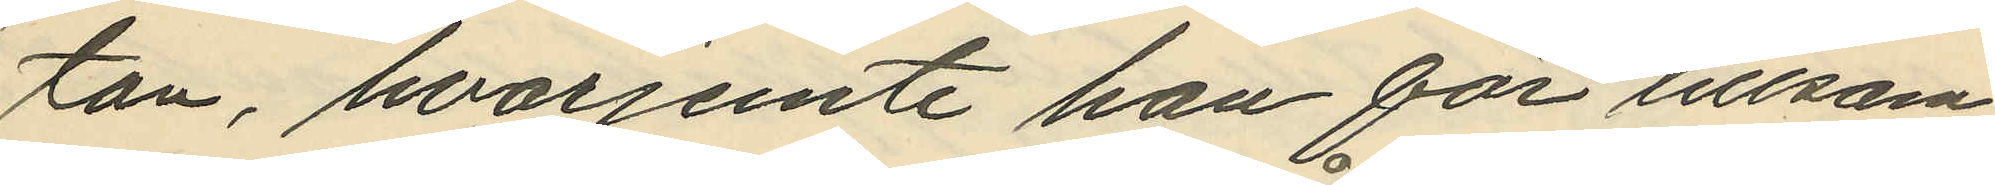tan, hvarjemte han för tillsam¬
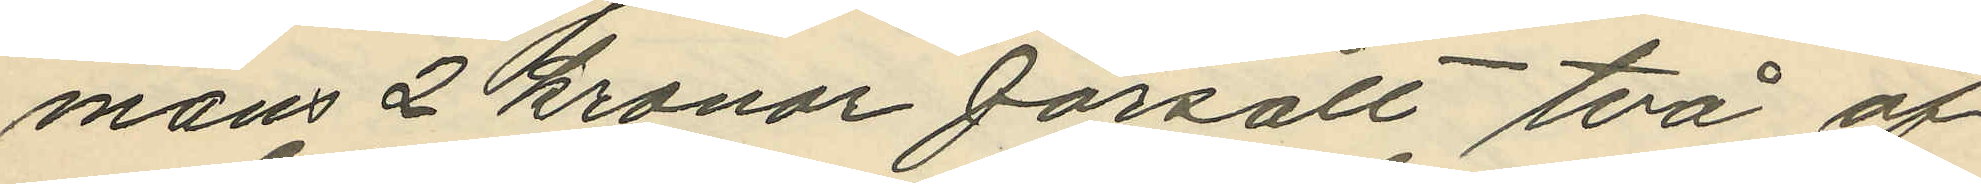mans 2 kronor försålt två af
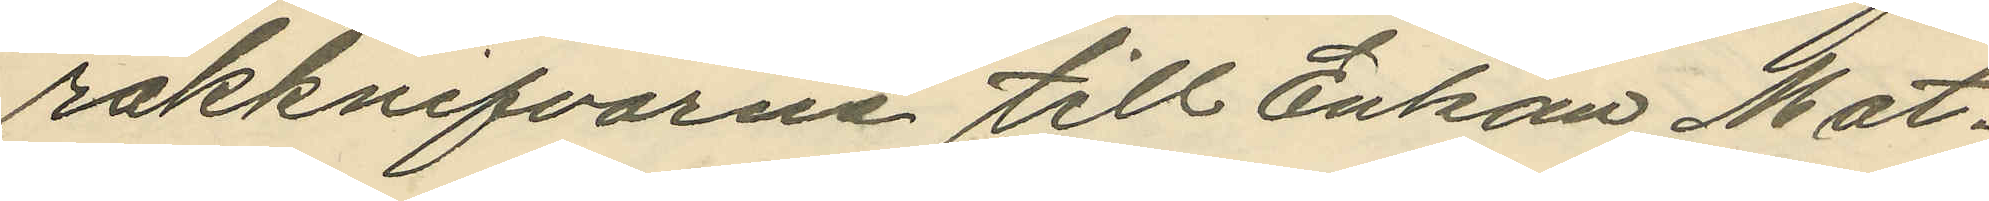rakknifvarne till Enkan Mat¬
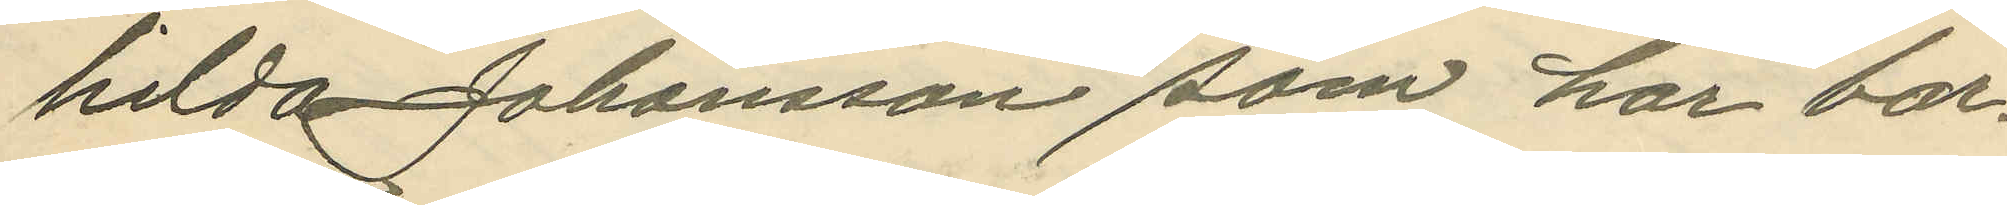hilda Johansson som har bar¬
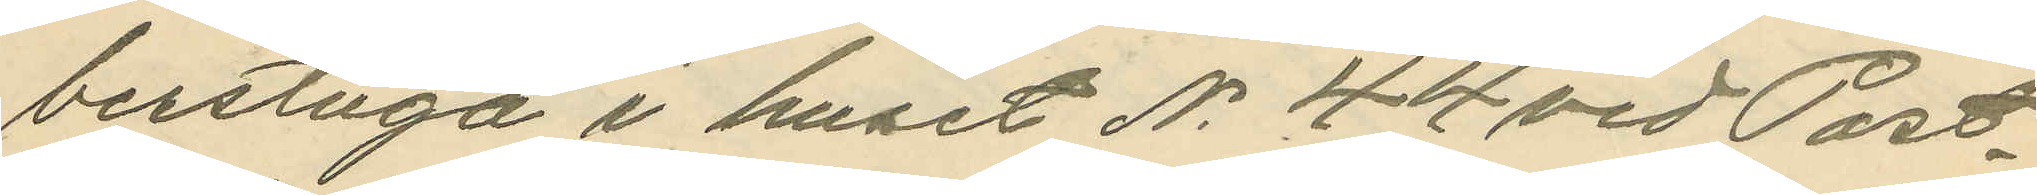berstuga i huset No 44 vid Post¬
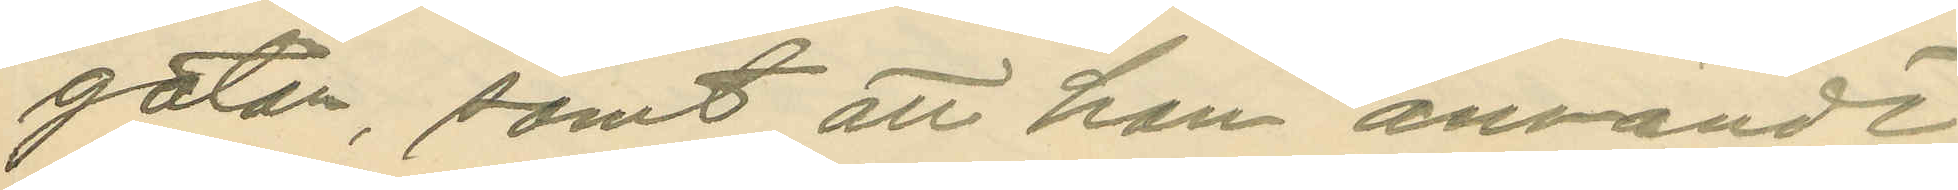gatan, samt att han användt
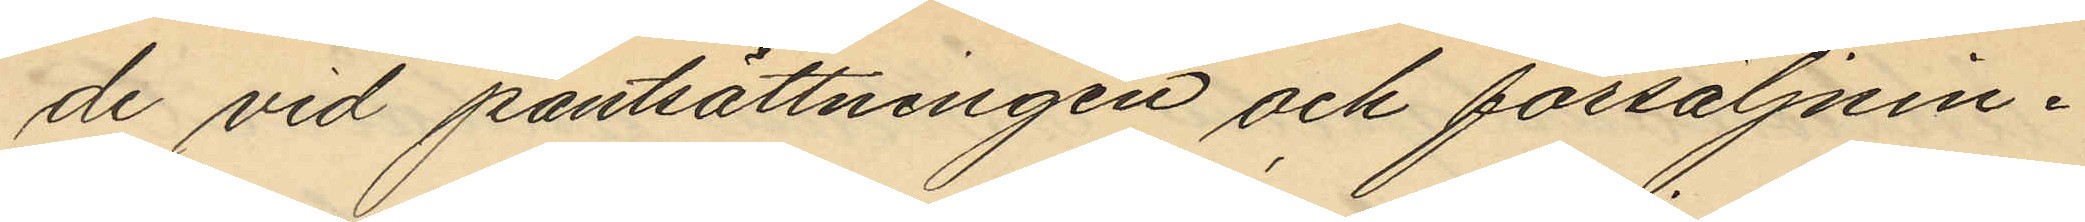de vid pantsättningen och försäljnin¬
